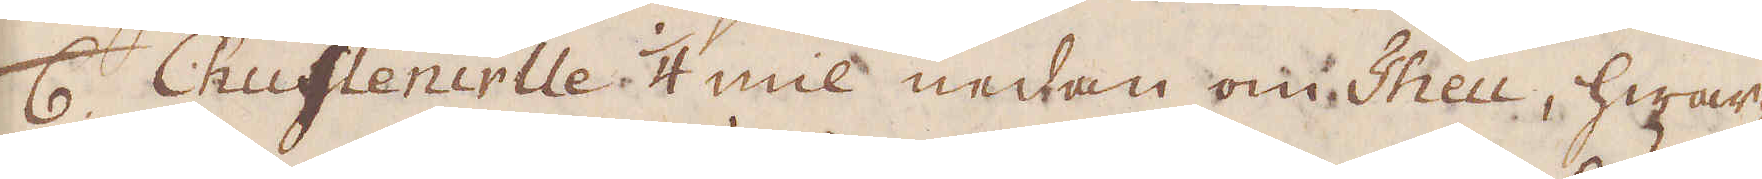6. Chuflenirlle 1/4 mil nedan om Theu, hwar
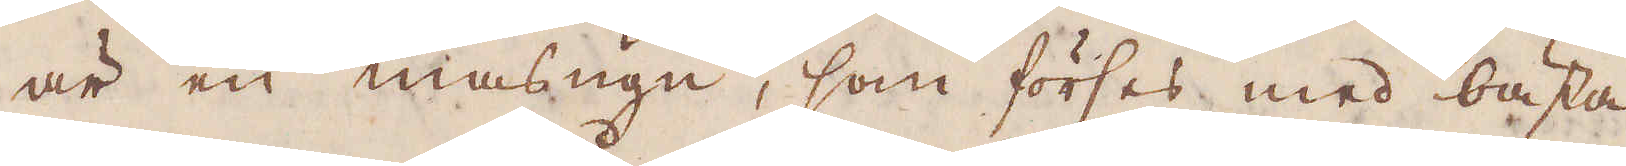är en masugn, som förses med bästa
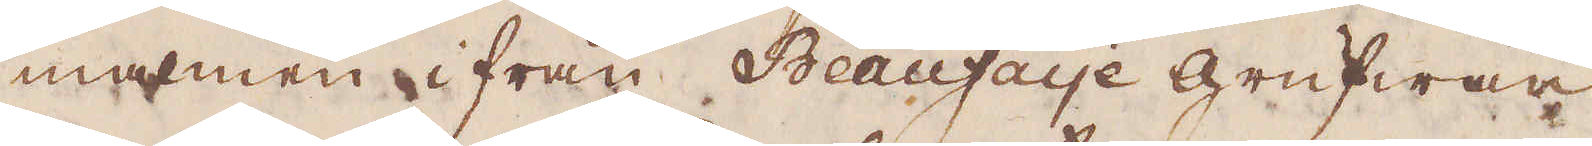malmen ifrån Beaufaye Grufwan
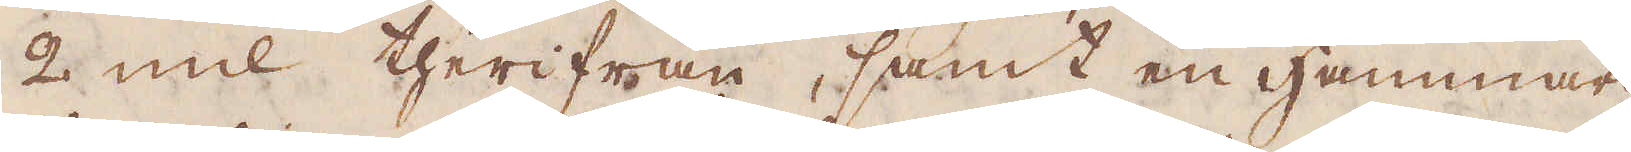2 mil therifrån, samt en hammar-
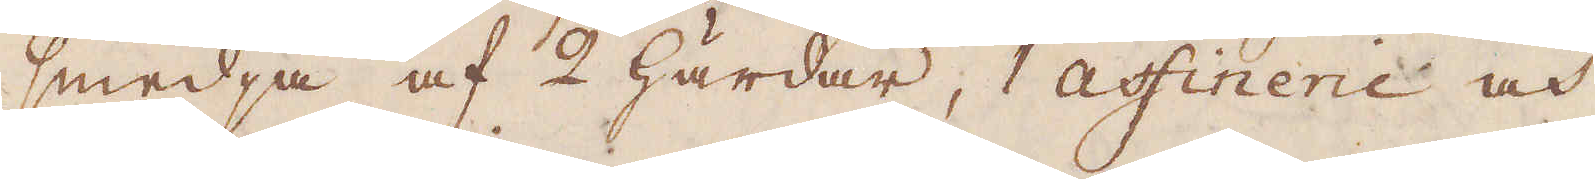smedja af 2 härdar, 1 astinerie och
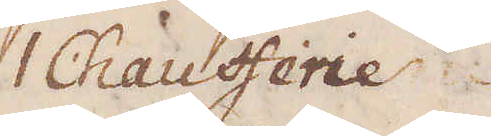1 Chaufferie
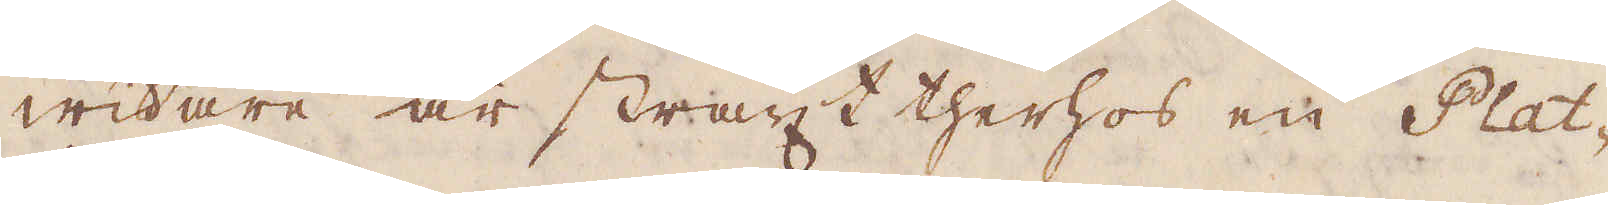widare är straxt therhos en Plat-
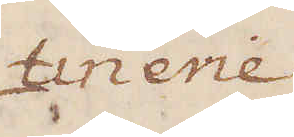terierie.
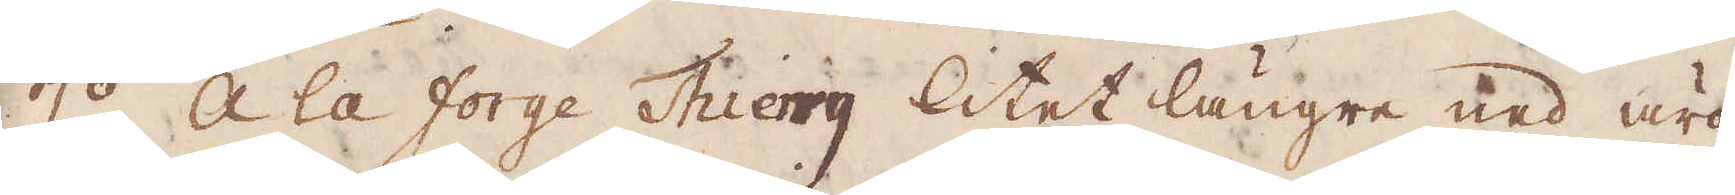7:o A la forge Thierry litet längre ned äro
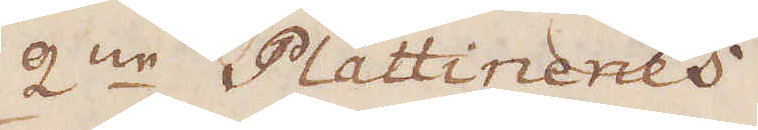2:ne Plattineries.
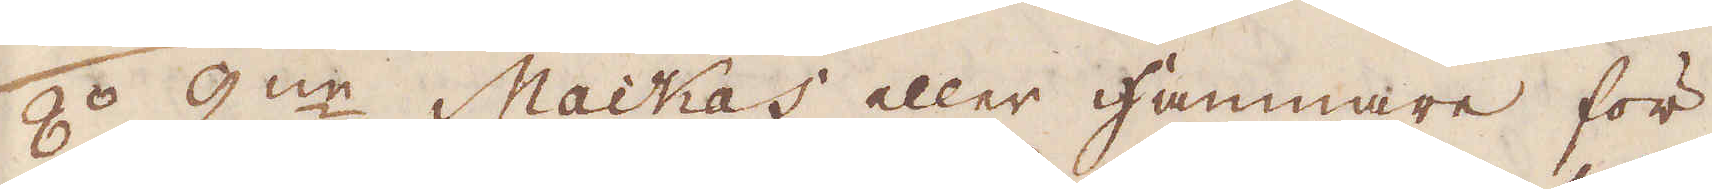8:o 2:ne Mackas eller hammare för
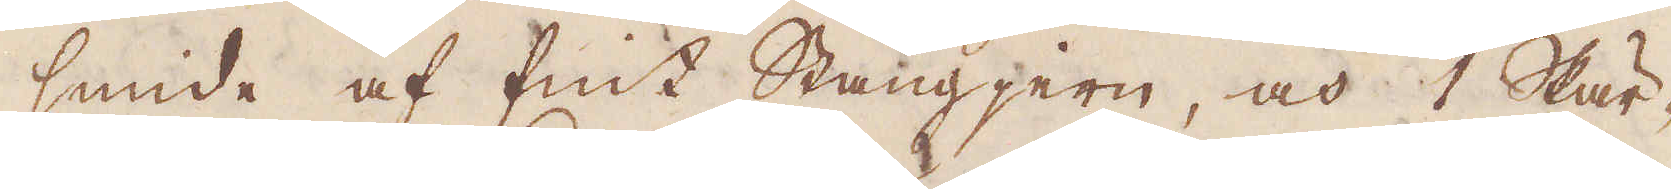smide af fint Stångjern, och 1 Skär-
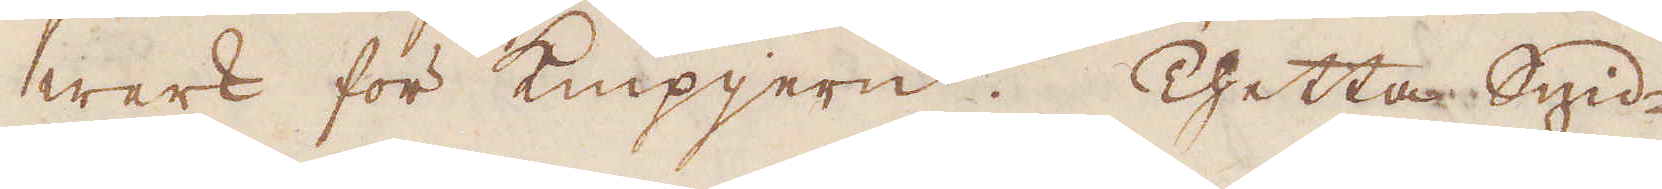werk för knipjern. Thetta Smid-
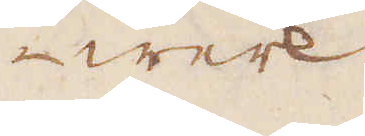-werk
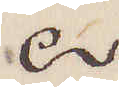♂
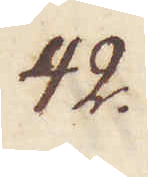42.
